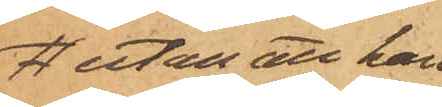utan att han
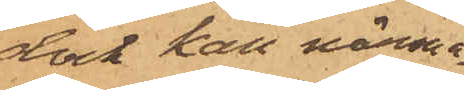dock han närma¬
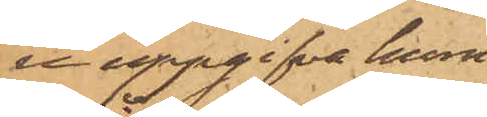re uppgifva huru
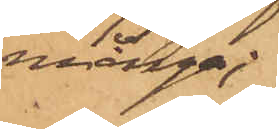många;
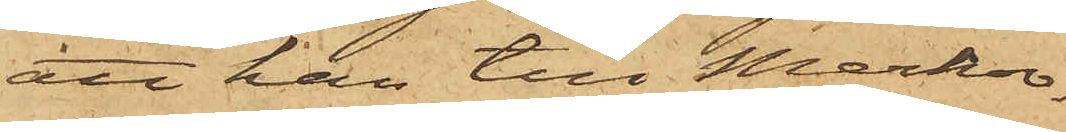att han till Merkov¬
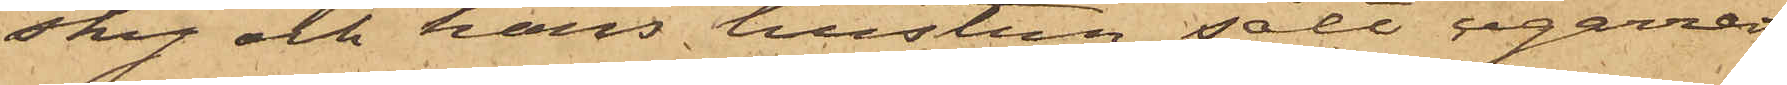sky och hans hustru sålt cigarrer
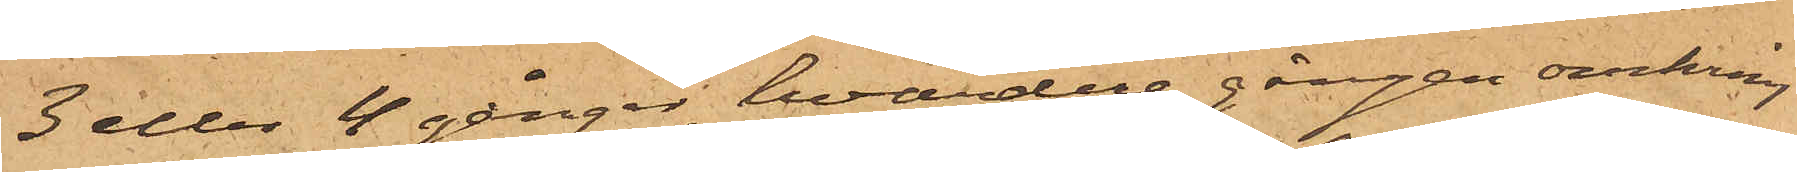3 eller 4 gånger, hvardera gången omkring
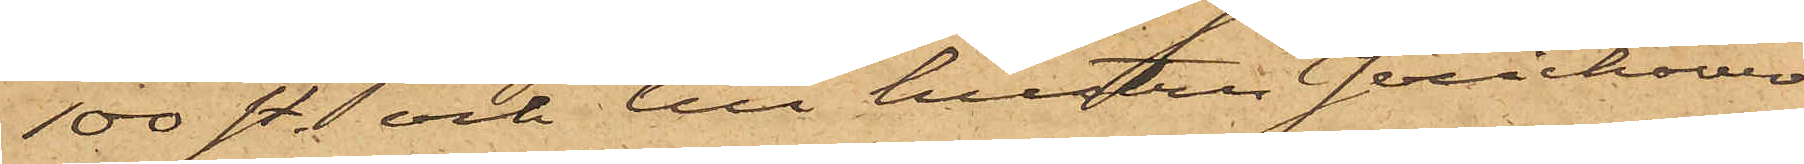100 st. och till hustru Jerichover
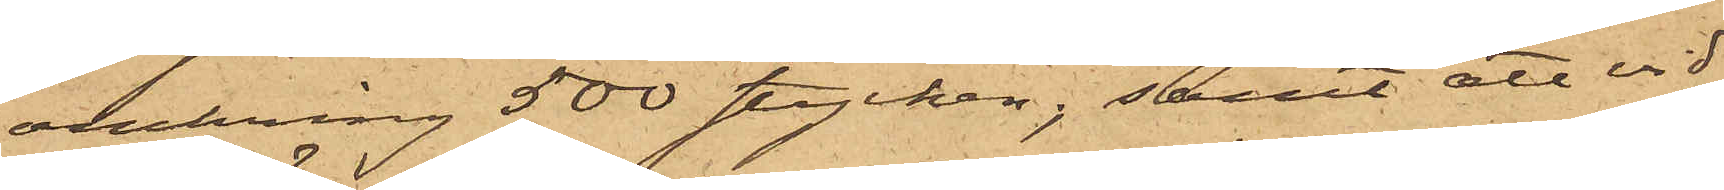omkring 500 stycken; samt att vid
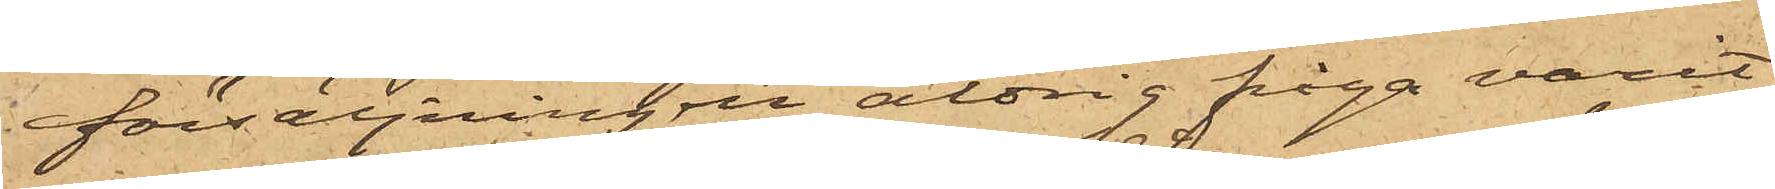försäljningen aldrig fråga varit
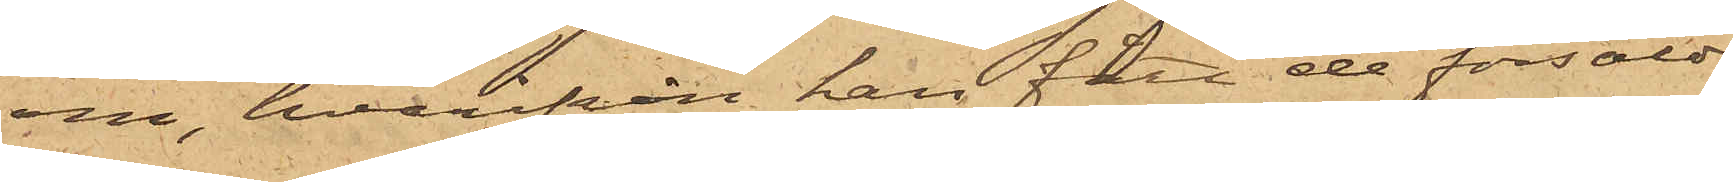om, hvarifrån han fått de försålde
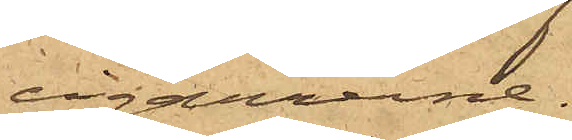cigarrerne.
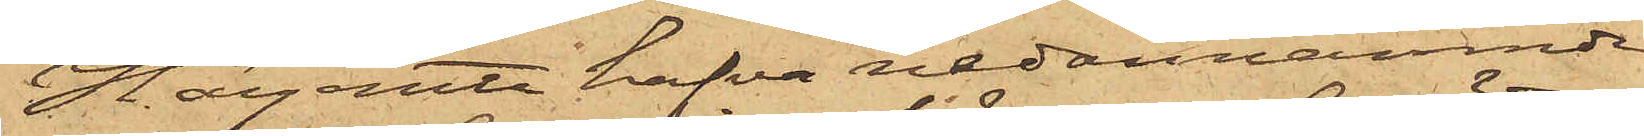Härjemte hafva nedannämnde
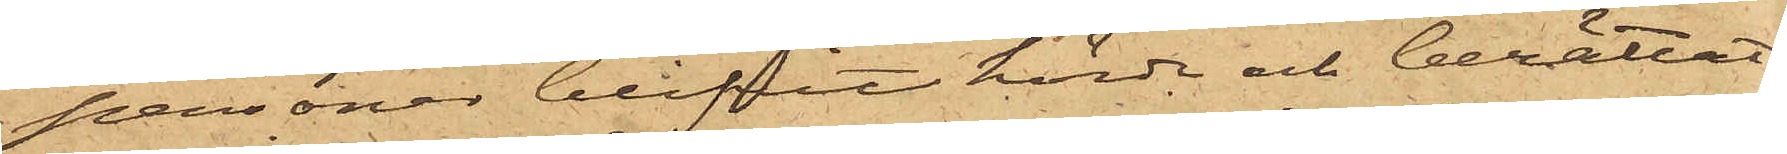personer blifvit hörda och berättat:
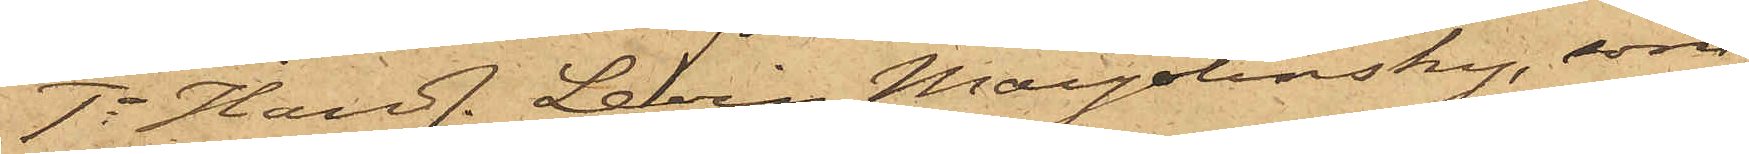1o Handl. Levin Margolinsky, som
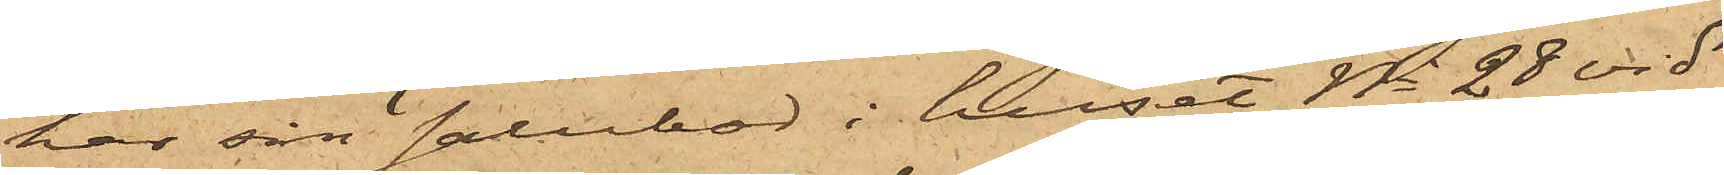har sin salubod i huset No 28 vid
